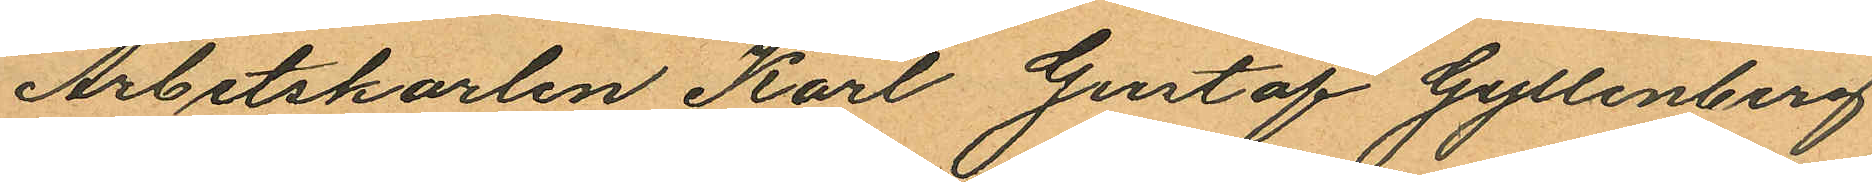Arbetskarlen Karl Gustaf Gyllenberg
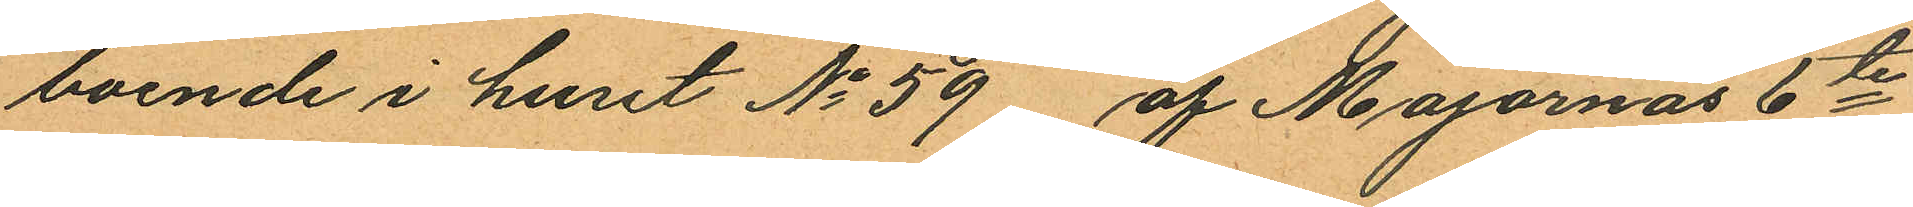boende i huset No 59 af Majornas 6te
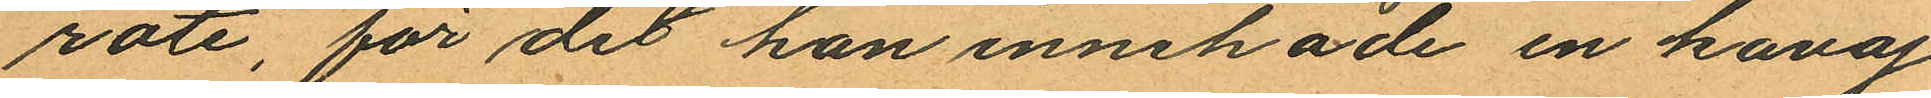rote, för det han innehade en kavaj
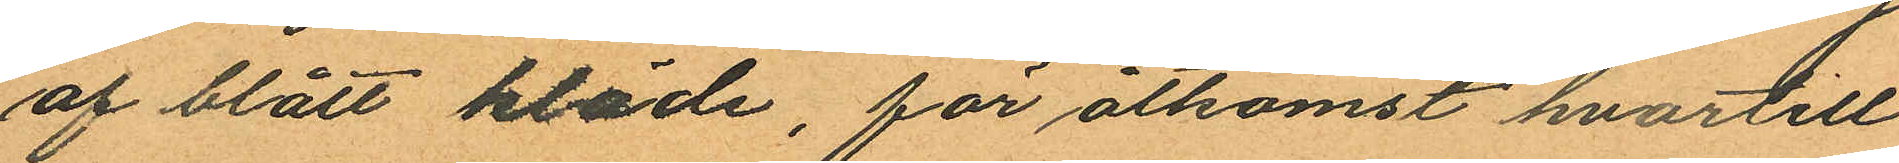af blått kläde, för åtkomst hvartill
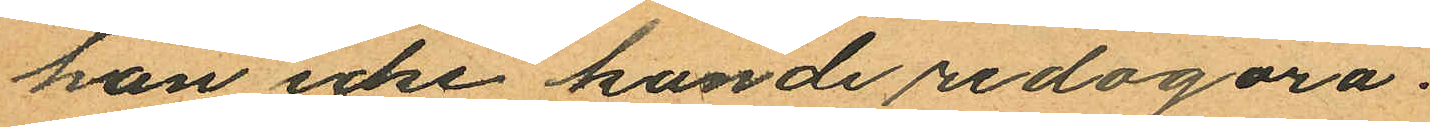han icke kunde redogöra.
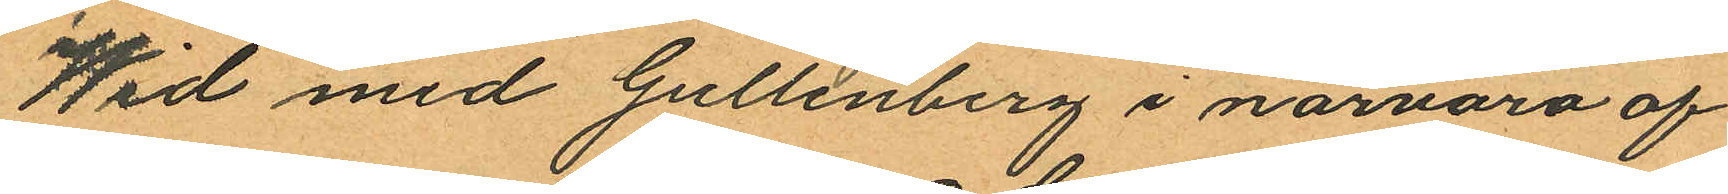Wid med Gullenberg i närvaro af
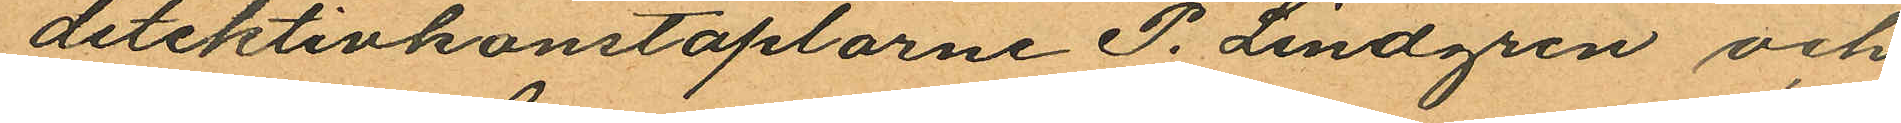detektivkonstaplarne P. Lindgren och
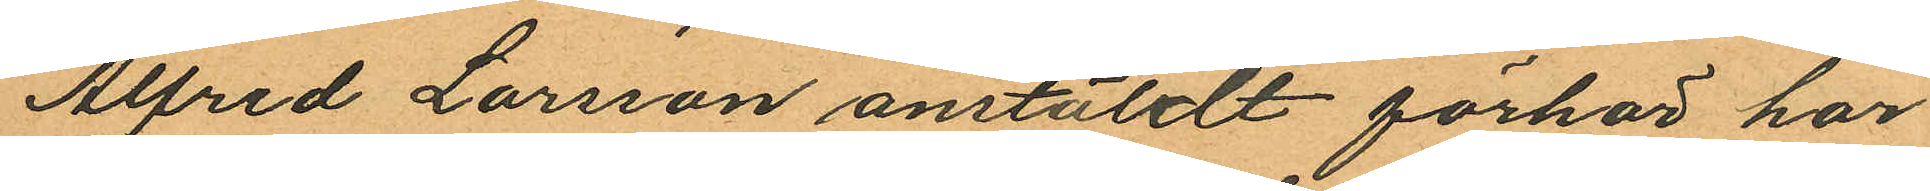Alfred Larsson anstäldt förhör har
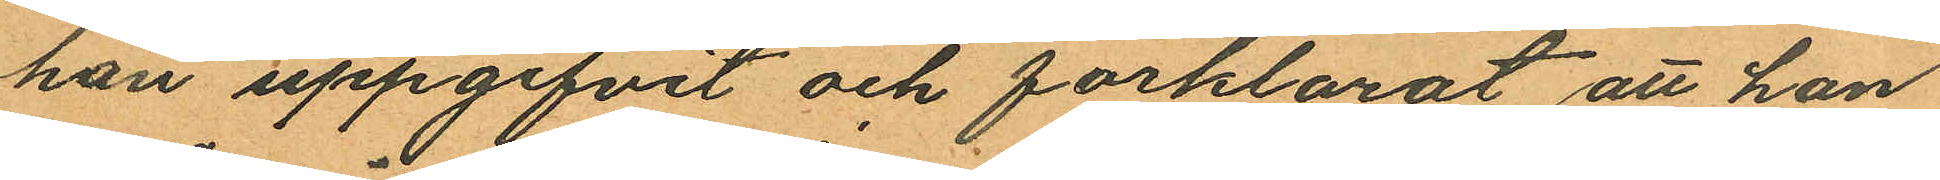han uppgifvit och förklarat att han
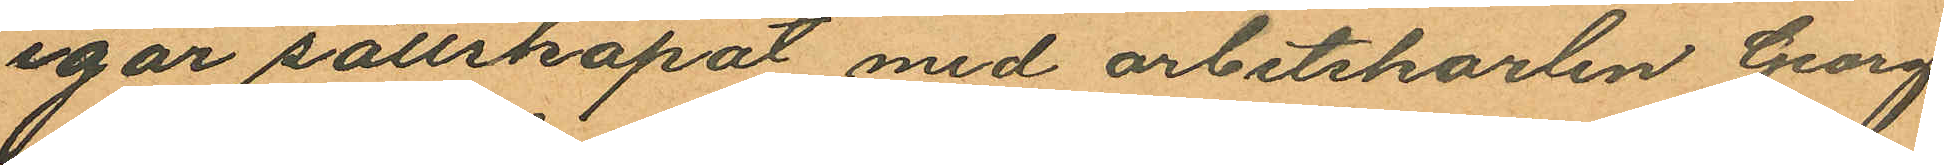igår sällskapat med arbetskarlen Georg
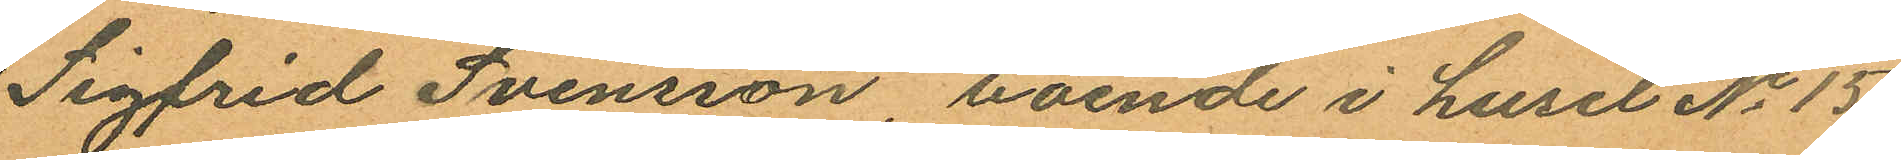Sigfrid Svensson, boende i huset No 15
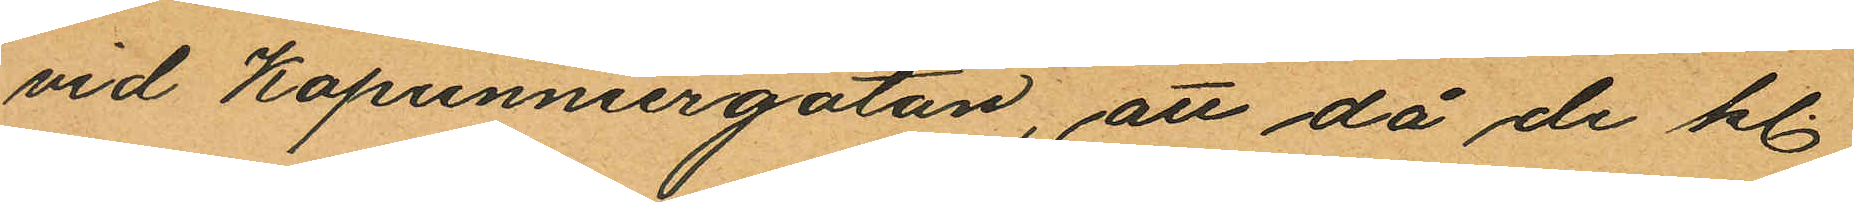vid Kapunniergatan, att då de kl.
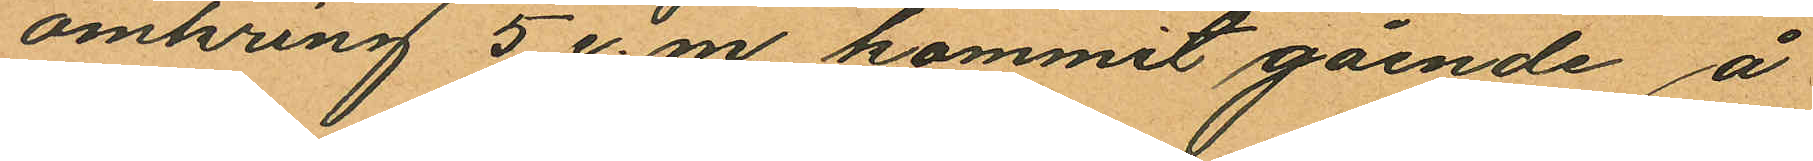omkring 5 e.m. kommit gående å
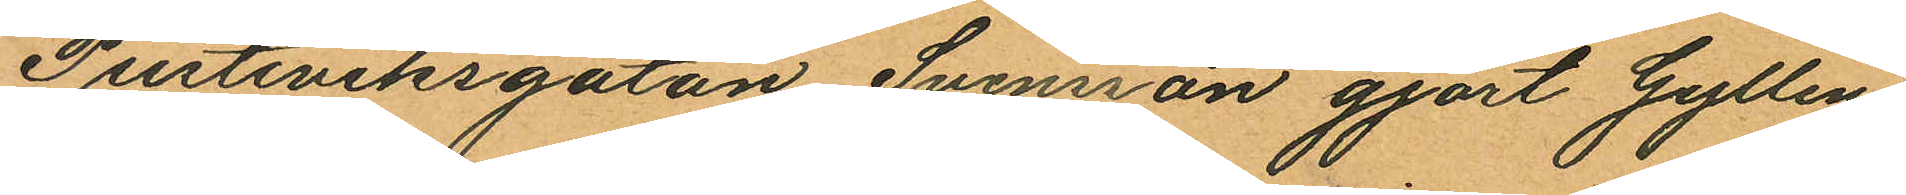Pusteviksgatan Svensson gjort Gyllen¬
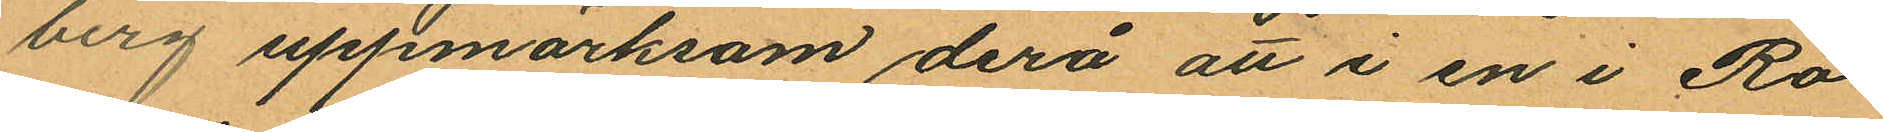berg uppmärksam derå att i en i Ro¬
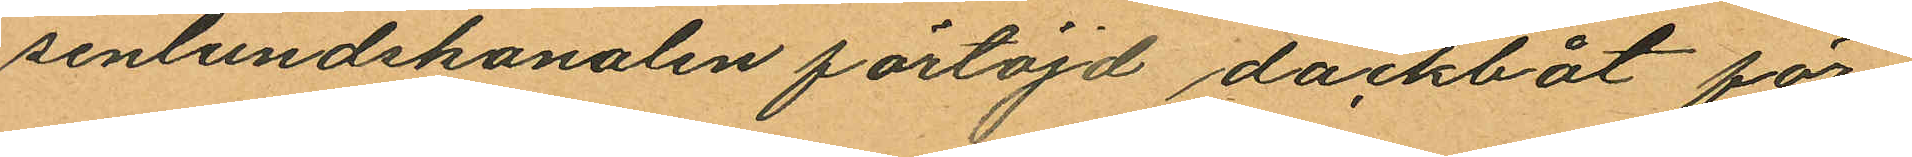senlundskanalen förtöjd däckbåt för¬
